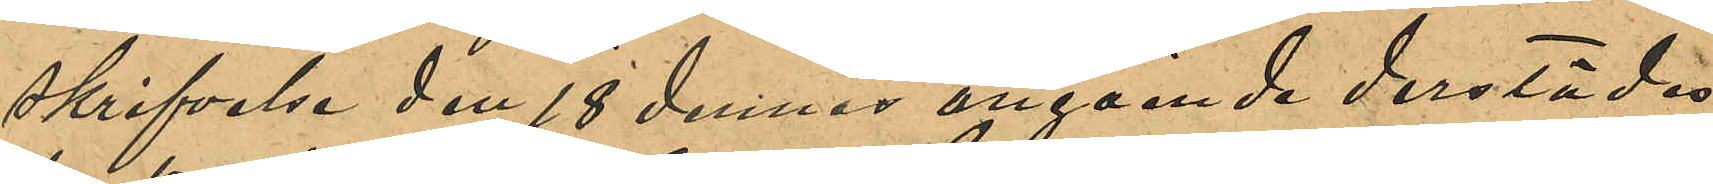skrifvelse den 18 dennes angående derstädes
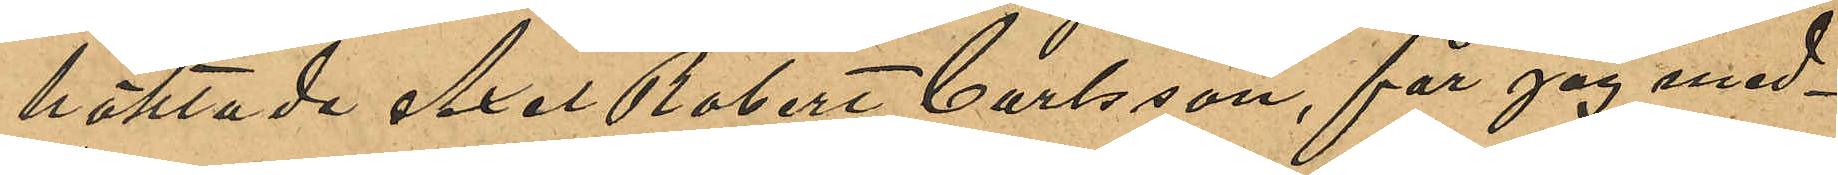häktade Axel Robert Carlsson, får jag med¬
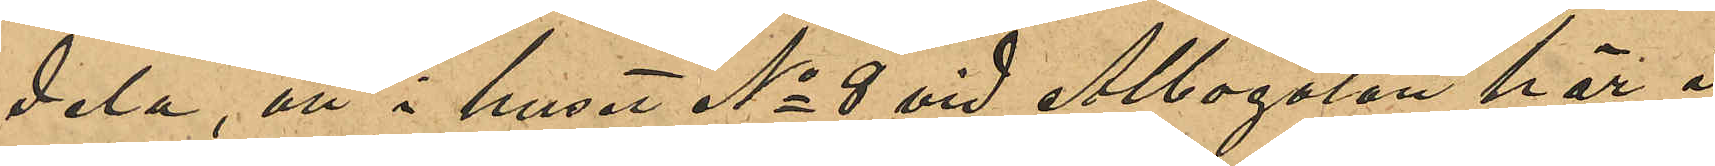dela, att i huset No 8 vid Albogatan här i
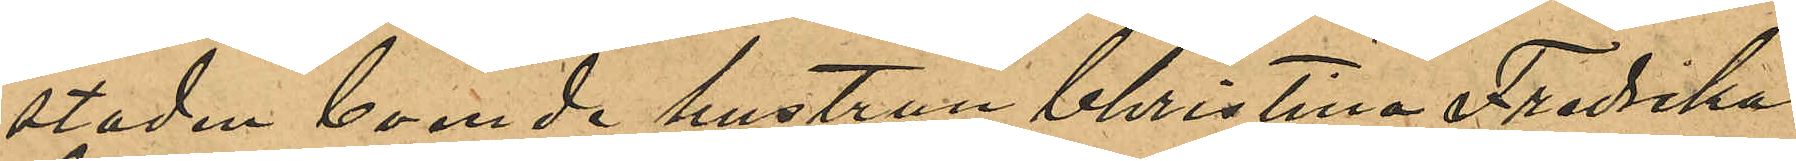staden boende hustrun Christina Fredrika
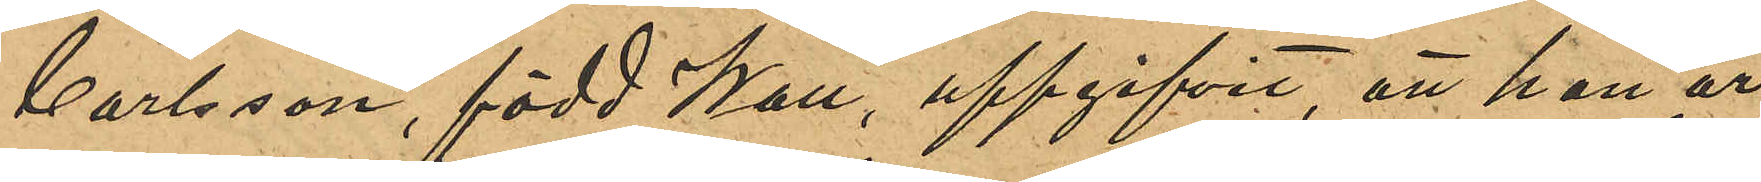Carlsson, född Wall, uppgifvit, att hon är
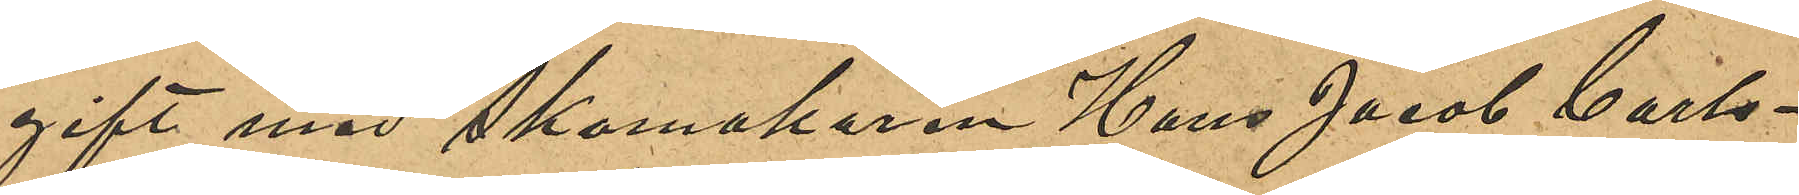gift med Skomakaren Hans Jacob Carls¬
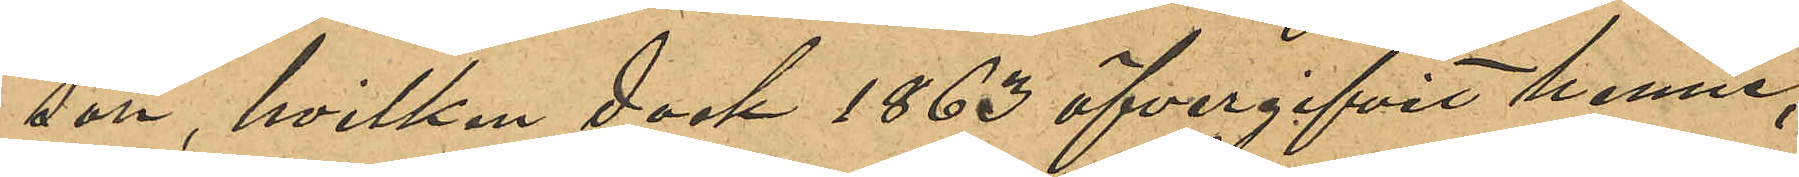son, hvilken dock 1863 öfvergifvit henne,
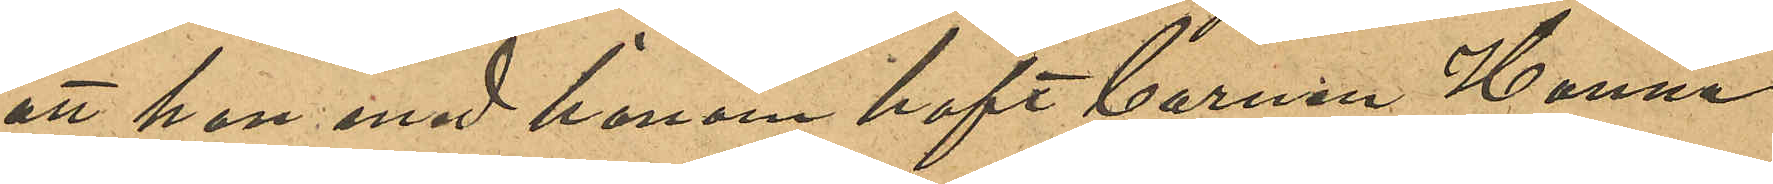att hon med honom haft barnen Hanna
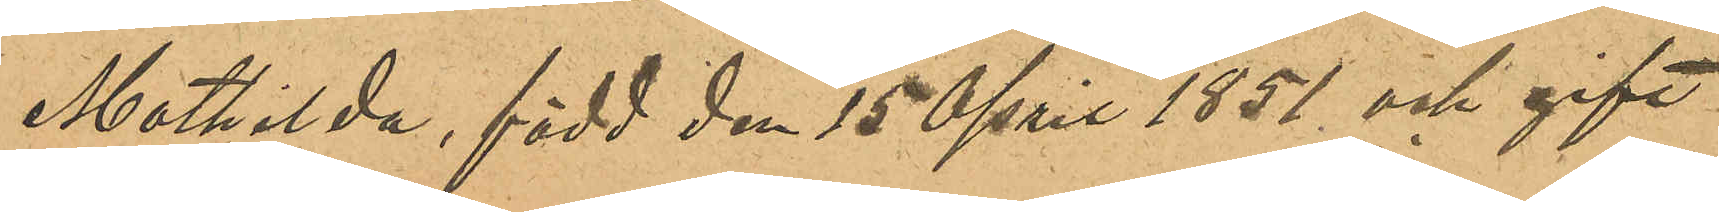Mathilda, född den 15 April 1851 och gift
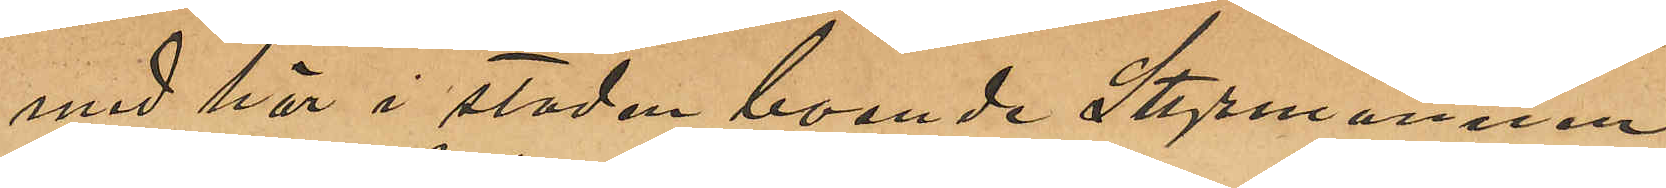med här i staden boende Styrmannen
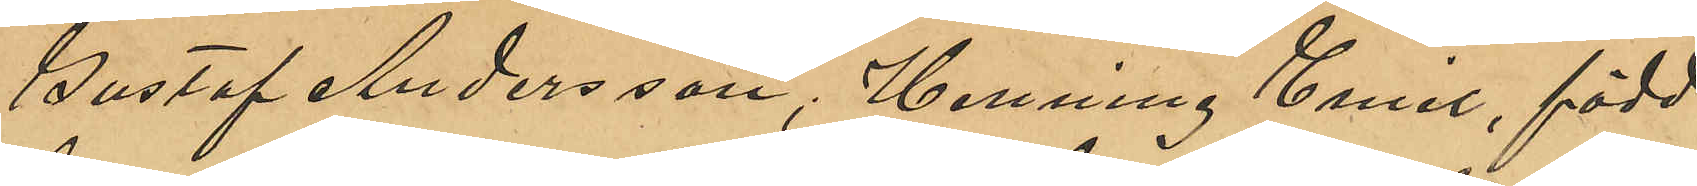Gustaf Andersson, Henning Emil född
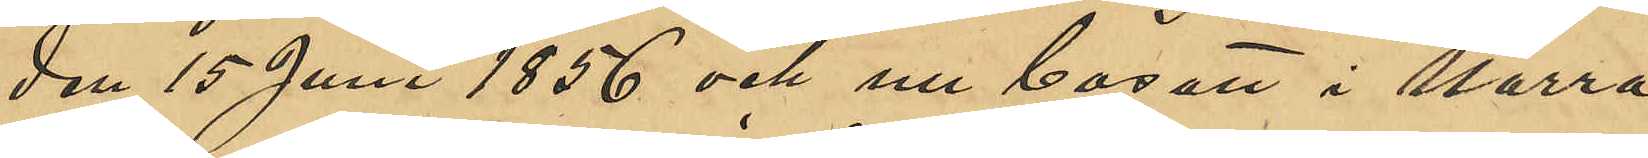den 15 Juni 1856 och nu bosatt i Norra
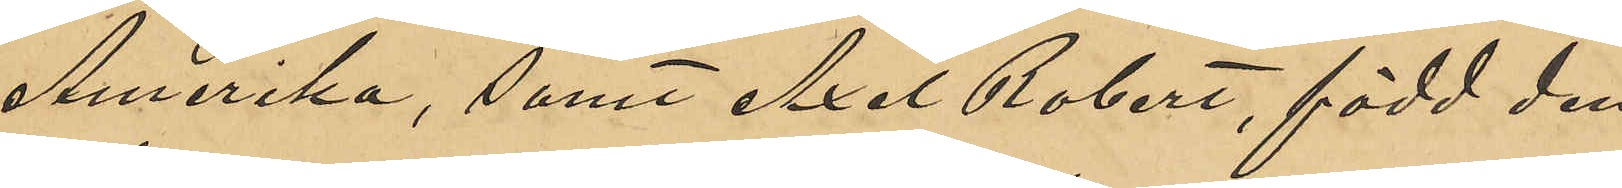Amerika, samt Axel Robert, född den
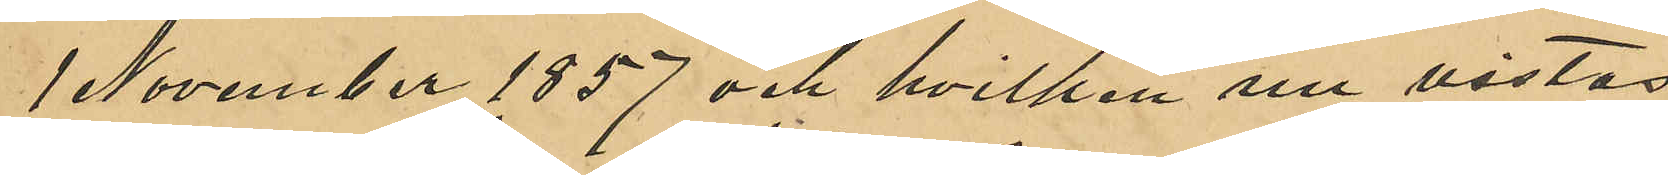1 November 1857 och hvilken nu vistas
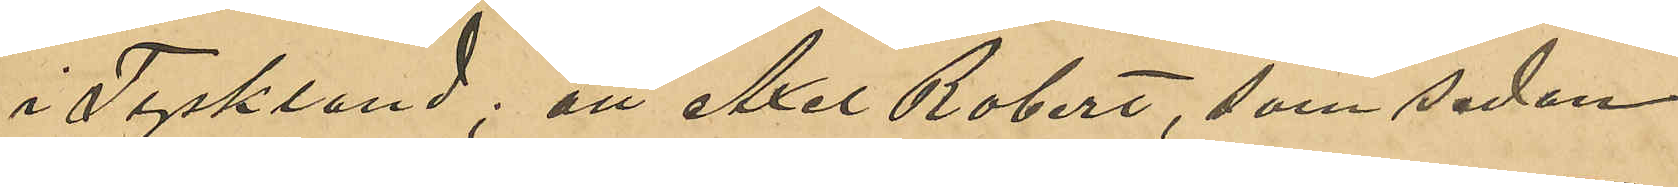i Tyskland; att Axel Robert, som sedan
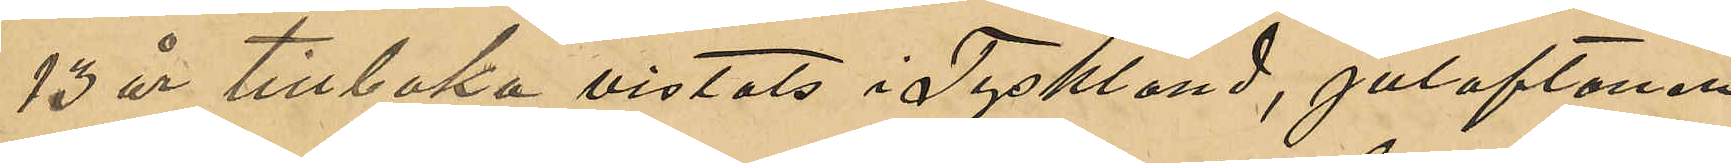13 år tillbaka vistats i Tyskland, julaftonen
